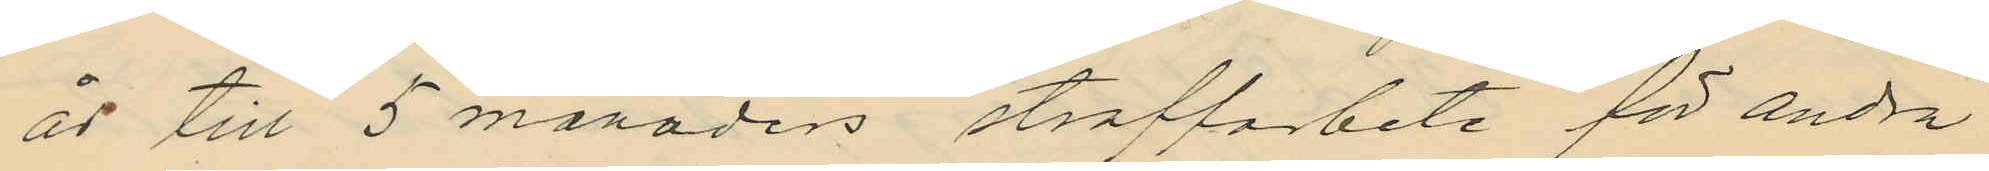år till 5 månaders straffarbete för andra
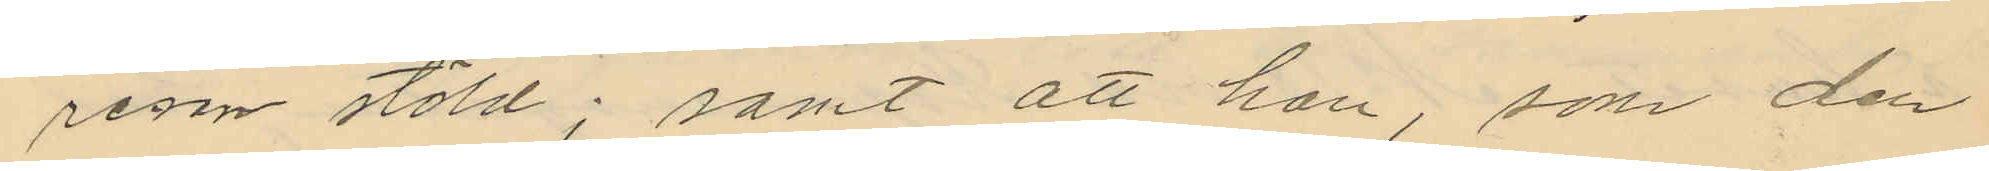resan stöld; samt att han, som den
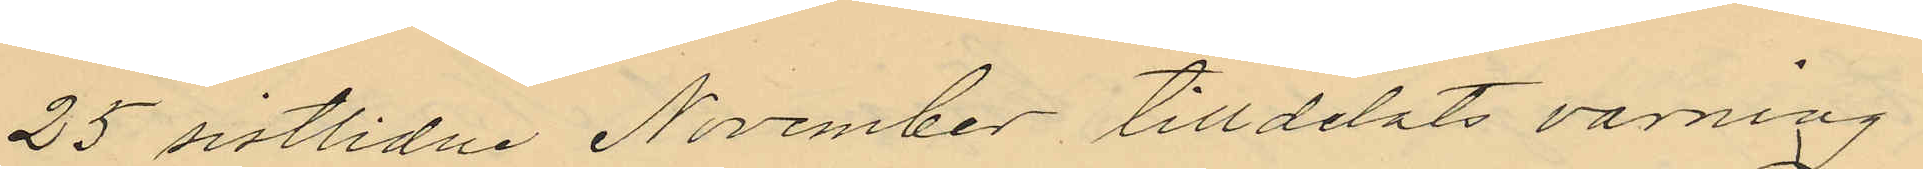25 sistlidne November tilldelats varning
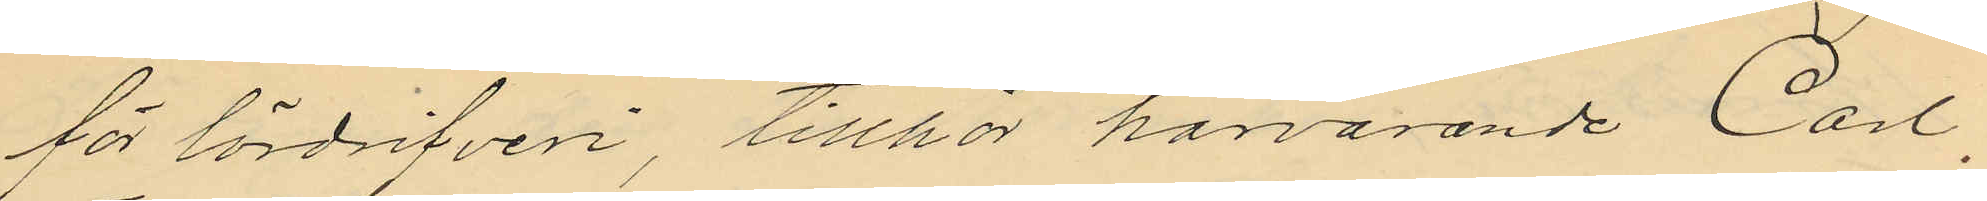för lösdrifveri, tillhör härvarande Carl
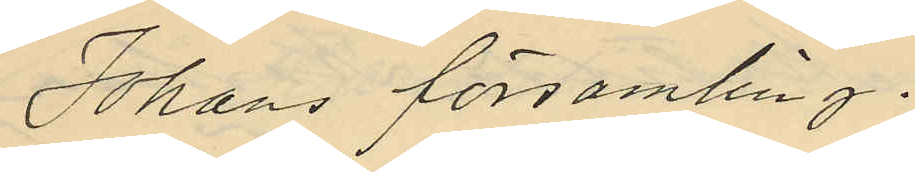Johans församling.
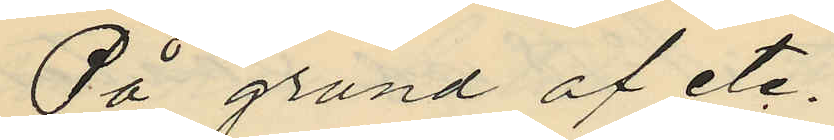På grund af etc.
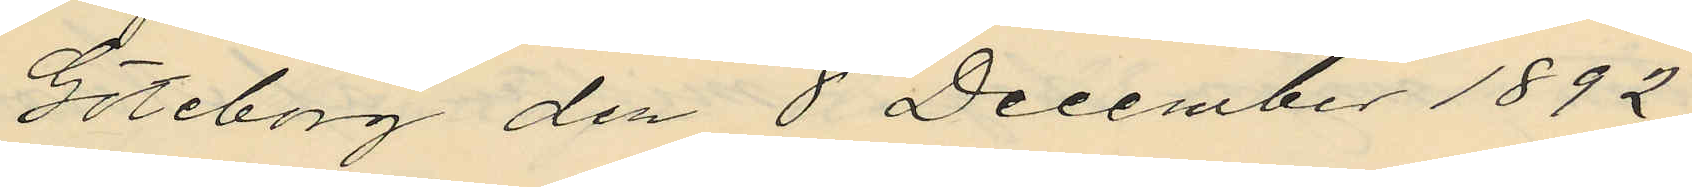Göteborg den 8 December 1892.
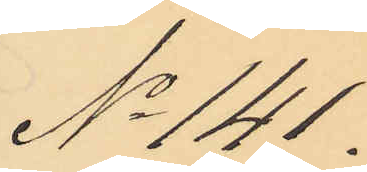No 141.
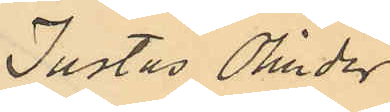Justus Olinder
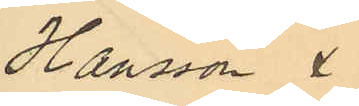Hansson & 
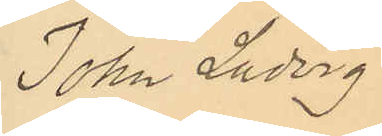Johan Ludvig
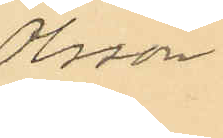Olsson
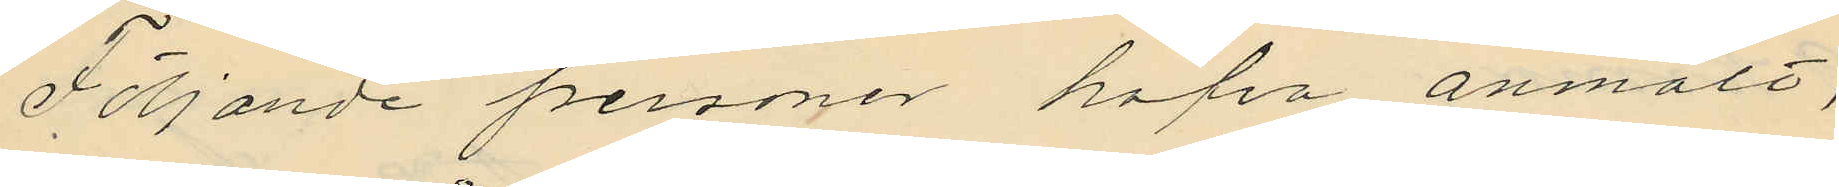Följande personer hafva anmält,
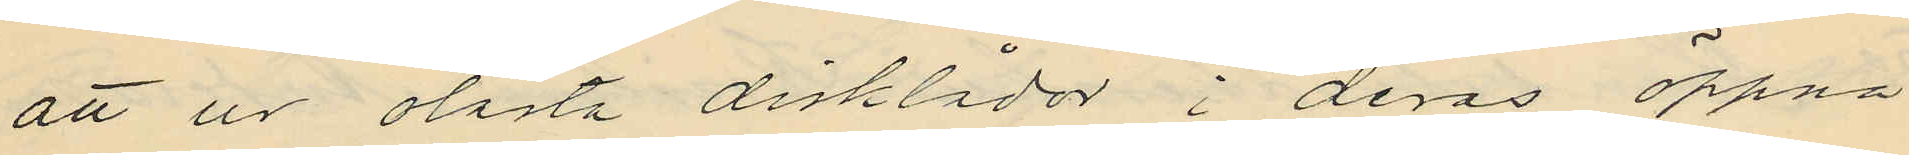att ur olåsta disklådor i deras öppna
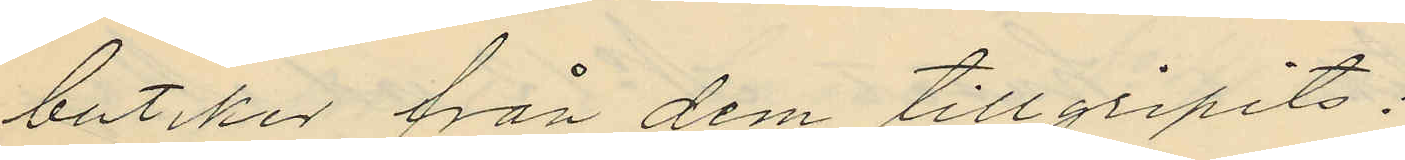butiker från dem tillgripits:
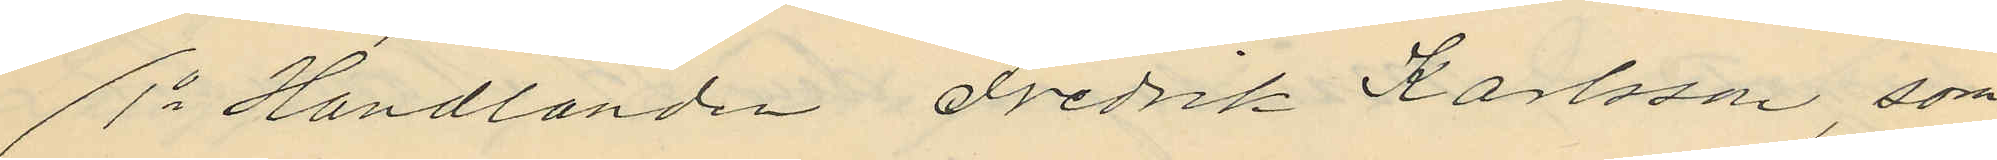1o Handlanden Fredrik Karlsson, som
